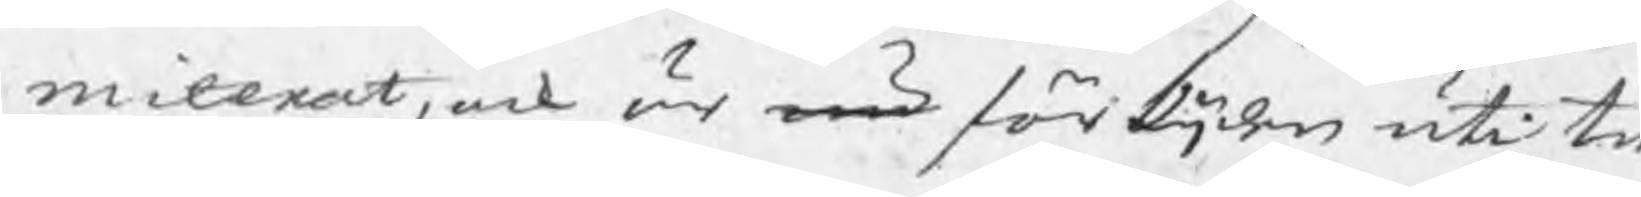miterat, och är nu för tijden uti tr
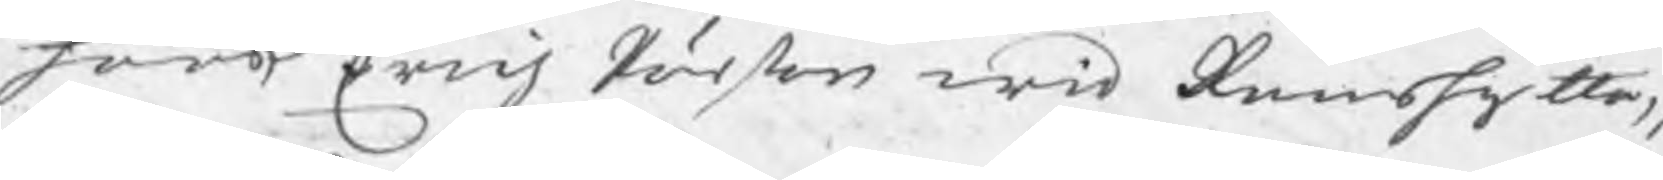hoos Erich Pärson wid Ramshytta,
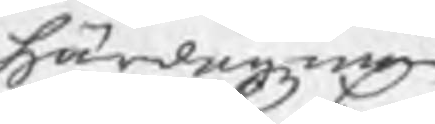Härdagzman
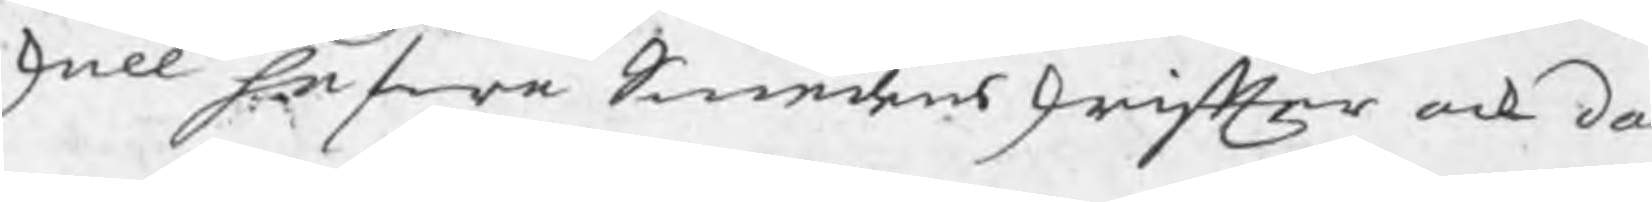skall hafwa Smedens skrifter ock do
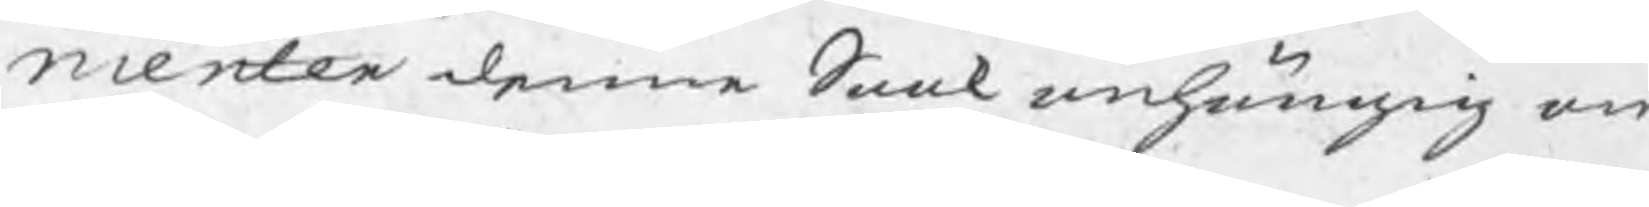menter denne Saak anhängig om
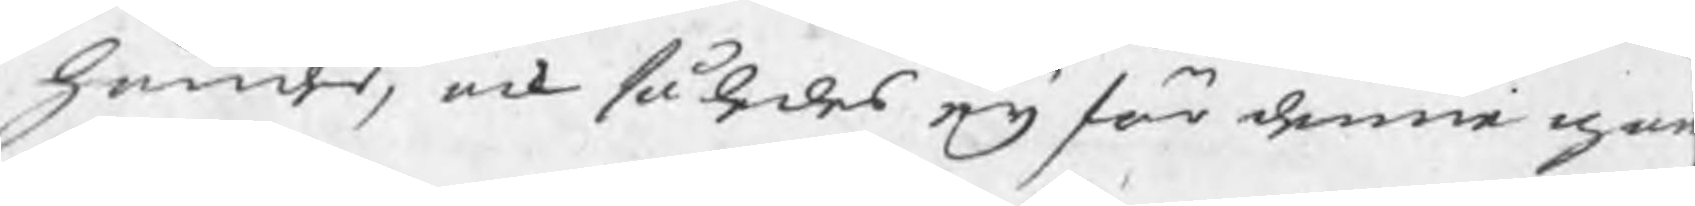händer, ock således eij för denne gån
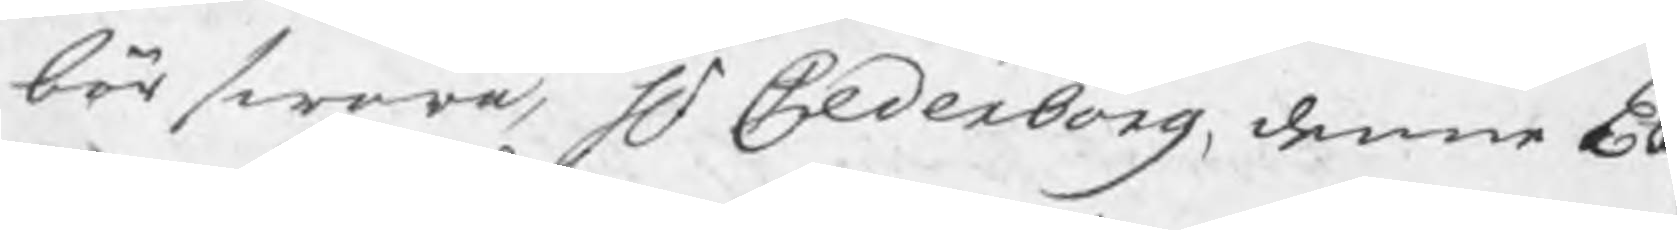bör swara, Hr Cederborg, denne Ex 
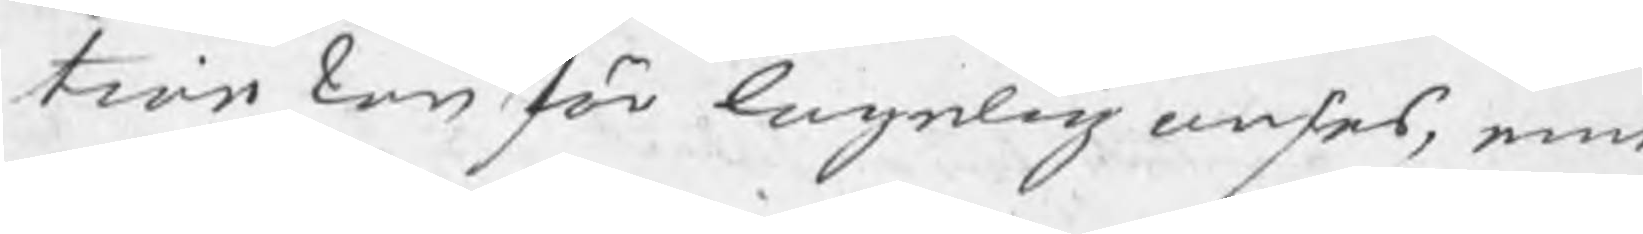tion kan för lagelig anses, eme
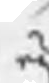eij
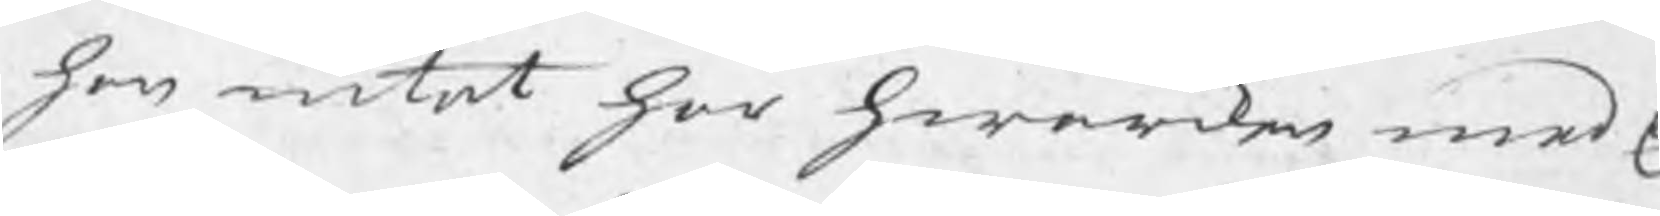han intet har hwarcken med E
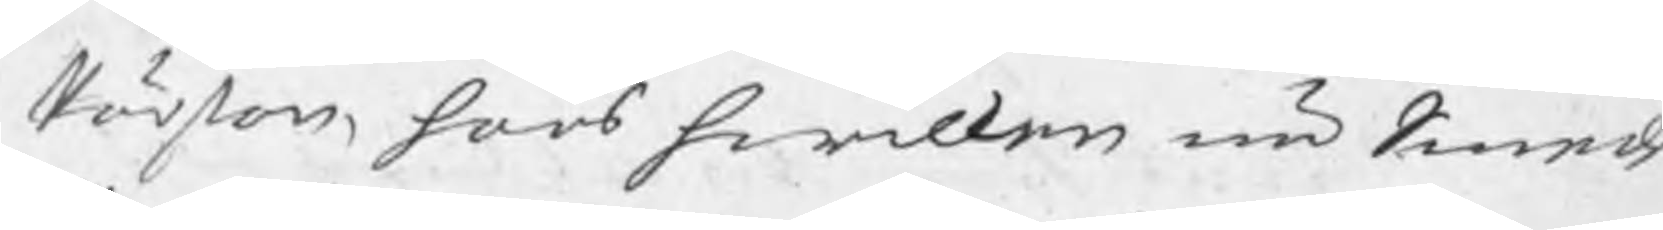Pärson, hoos hwilken nu Smeden
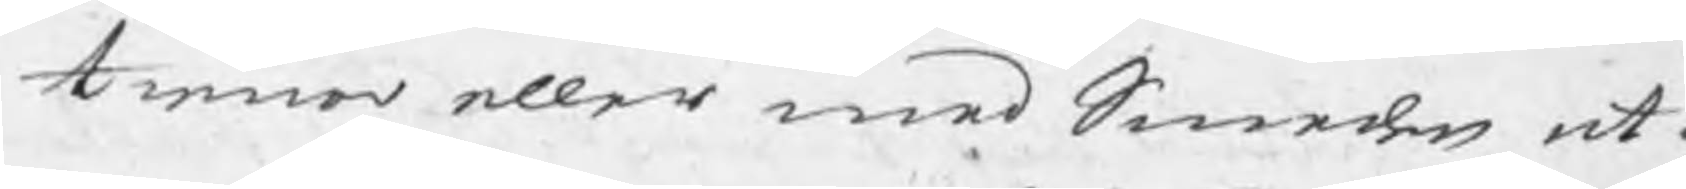tienar eller med Smeden at g
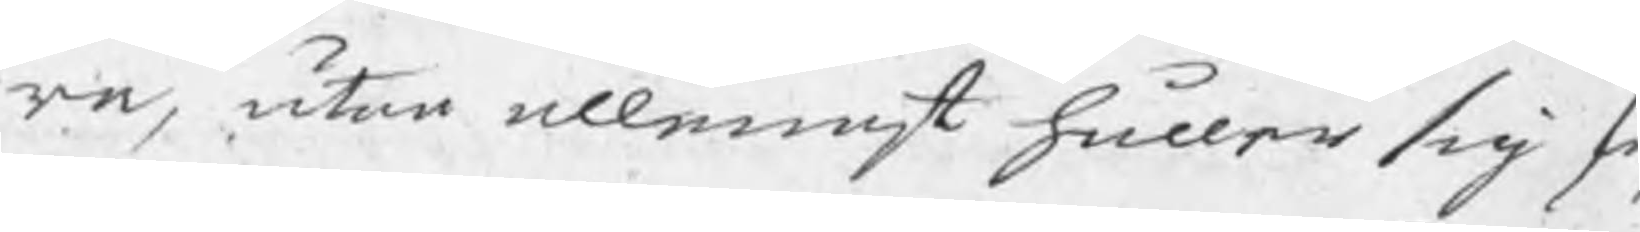ra, utan allenast håller sig fr
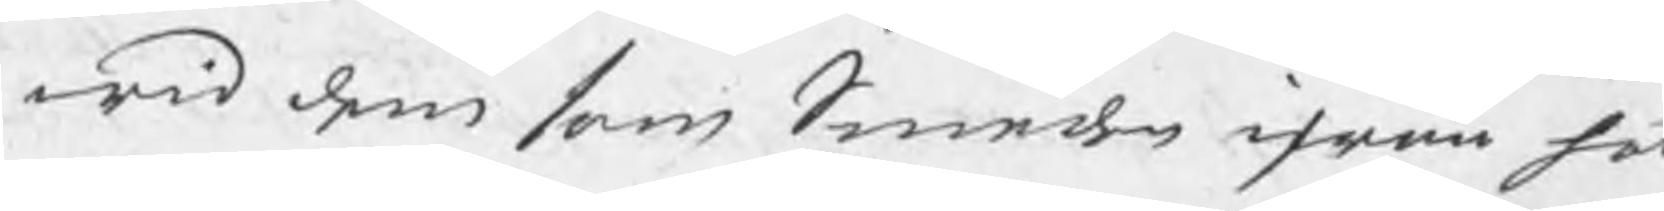wid dem som Smeden ifrån hä
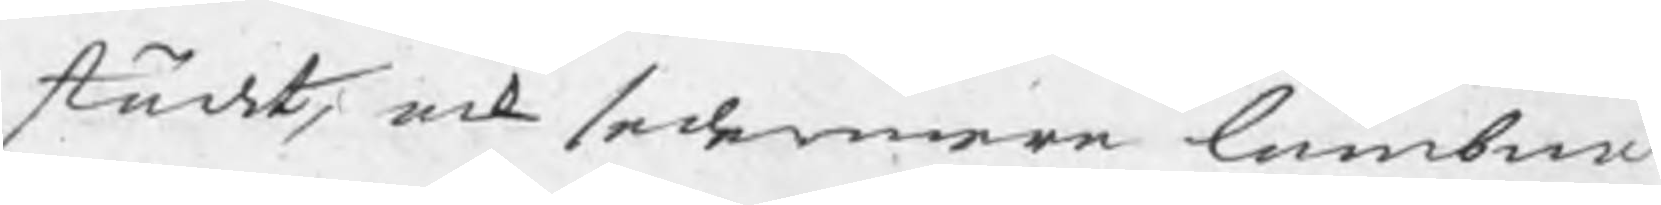städt, ock sedemera lämbnat
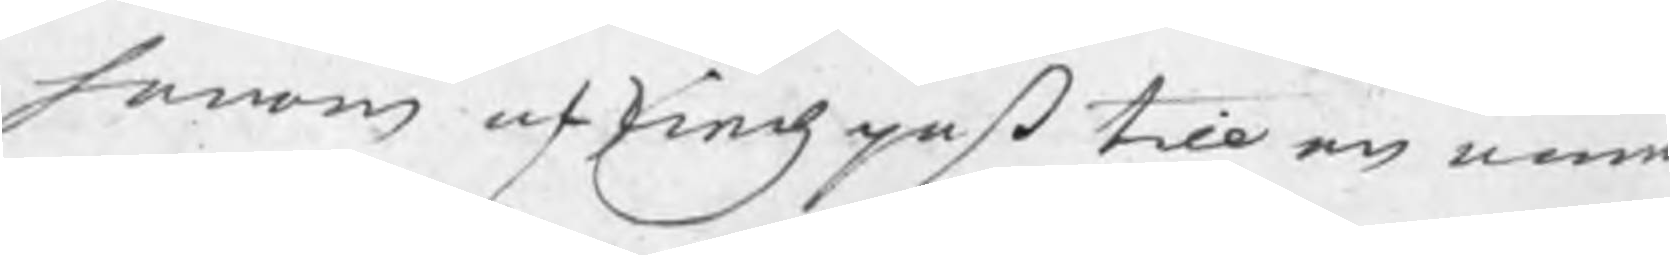honom afskiedspaß till en ann
